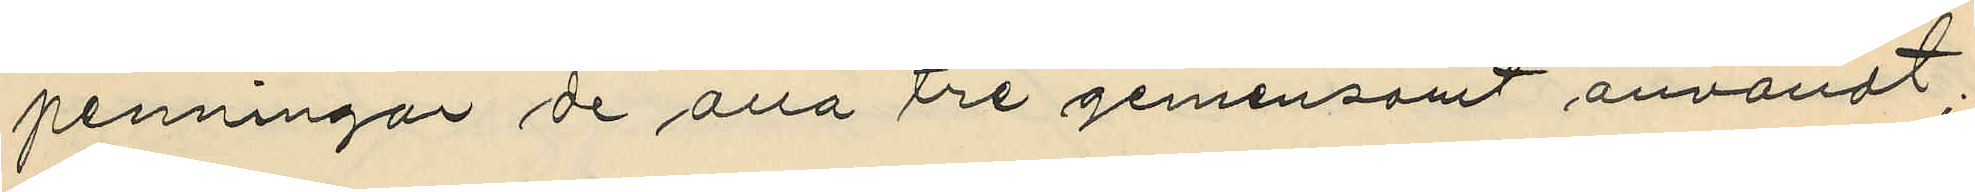penningar de alla tre gemensamt användt.
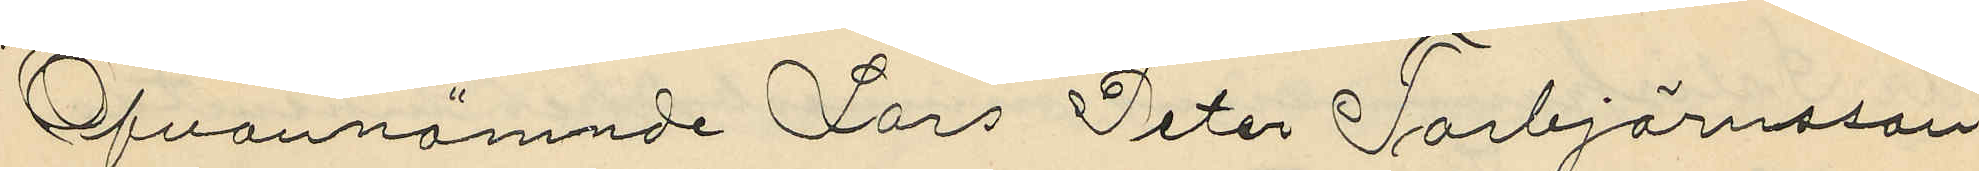Ofvannämnde Lars Peter Torbjörnsson
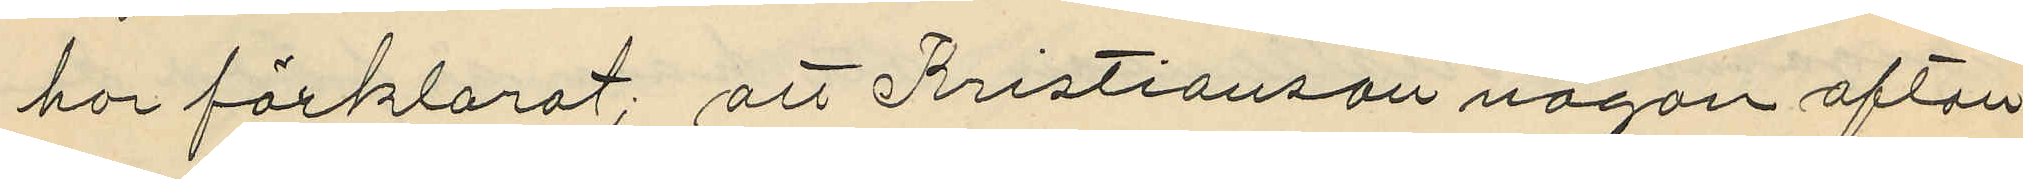har förklarat; att Kristianson någon afton
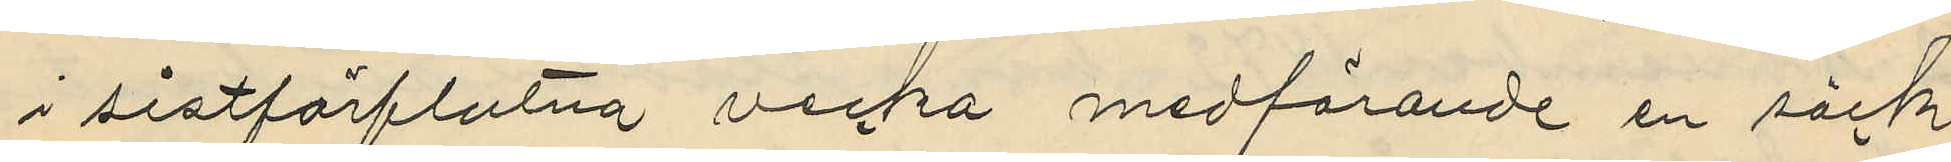i sistförflutna vecka medförande en säck
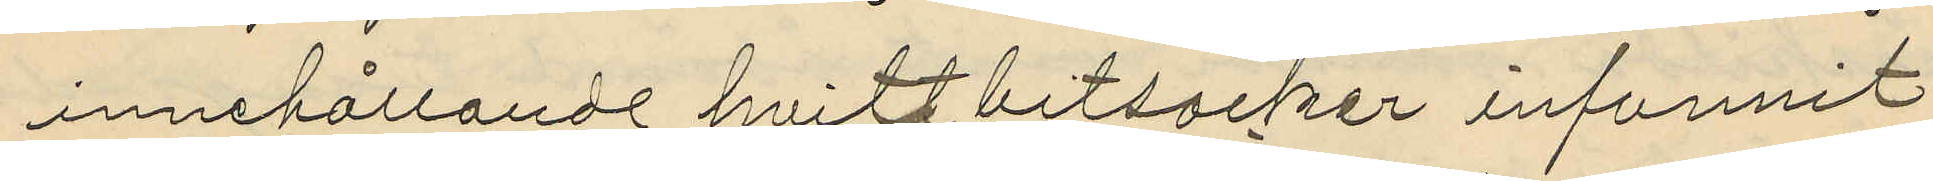innehållande hvitt bitsocker infunnit
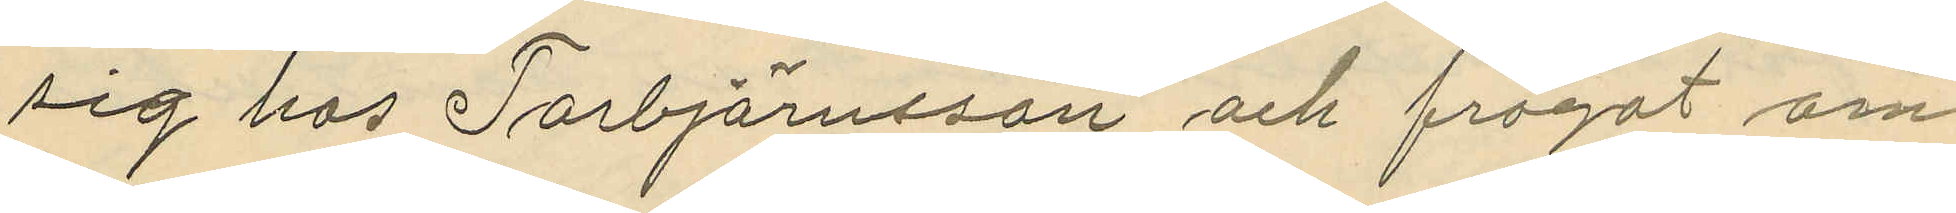sig hos Torbjörnsson och frågat om
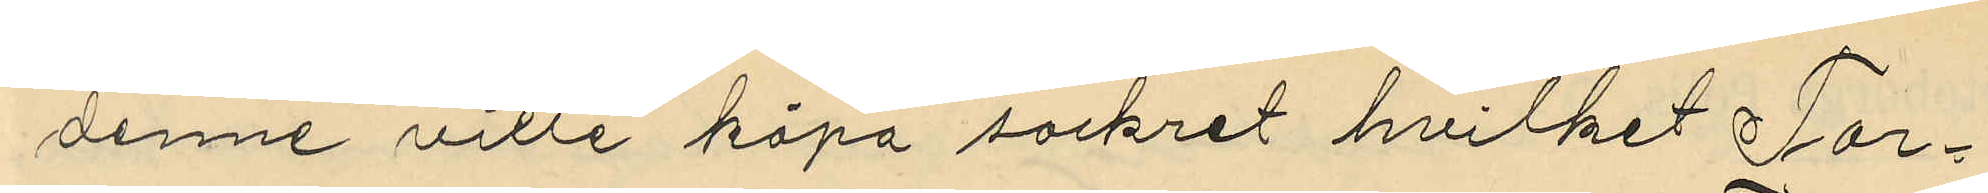denne ville köpa sockret hvilket Tor¬
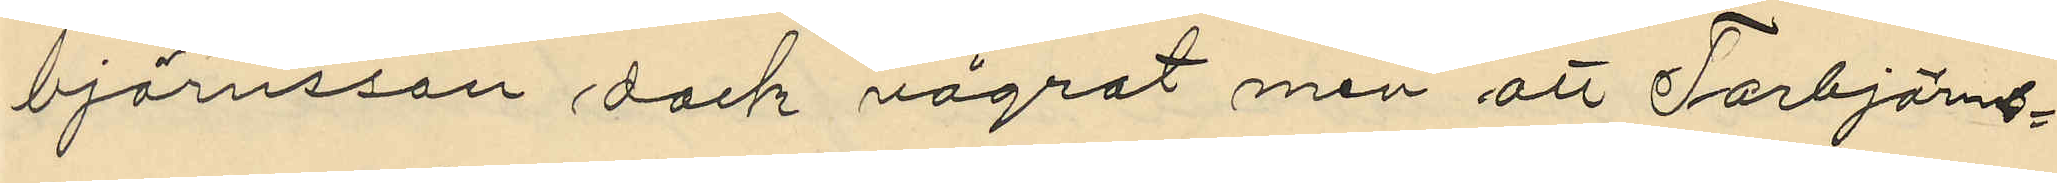björnsson dock vägrat men att Torbjörns¬
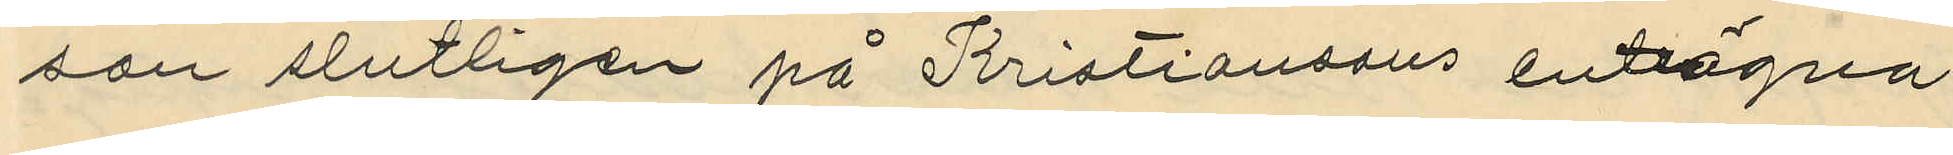son slutligen på Kristiansons enträgna
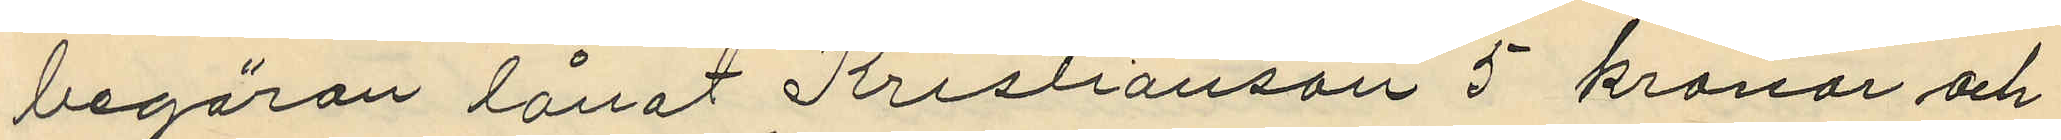begäran lånat Kristianson 5 kronor och
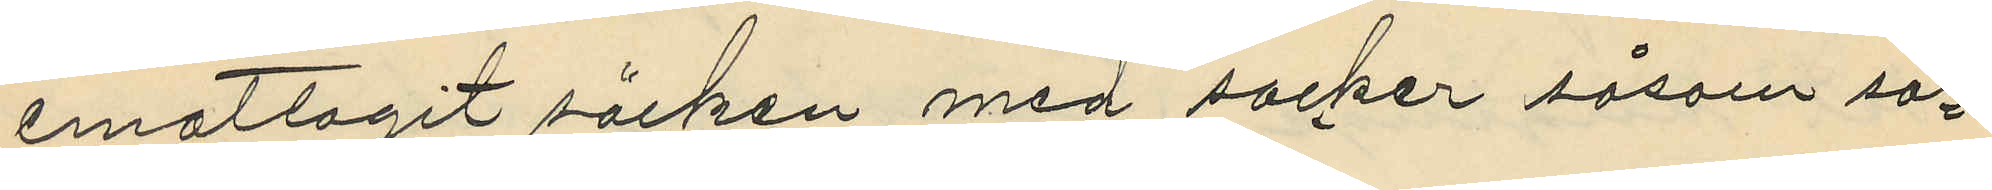emottagit säcken med socker såsom sä¬
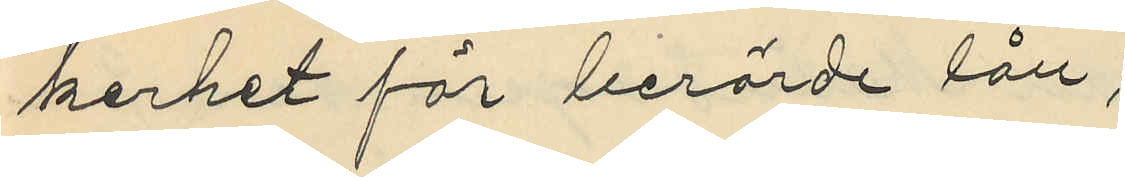kerhet för berörde lån;
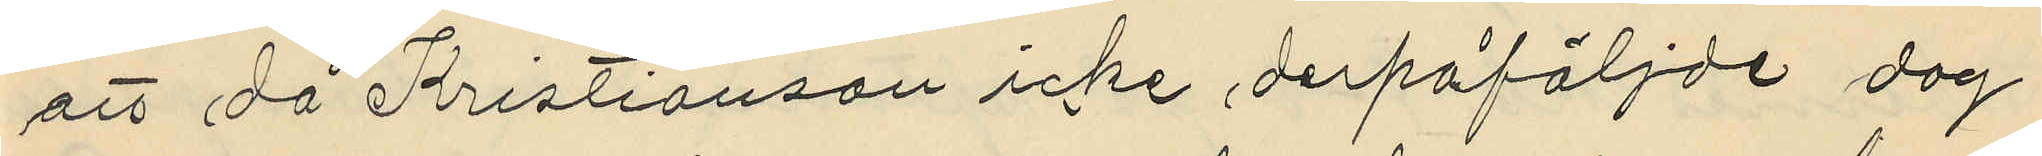att då Kristianson icke derpåföljde dag
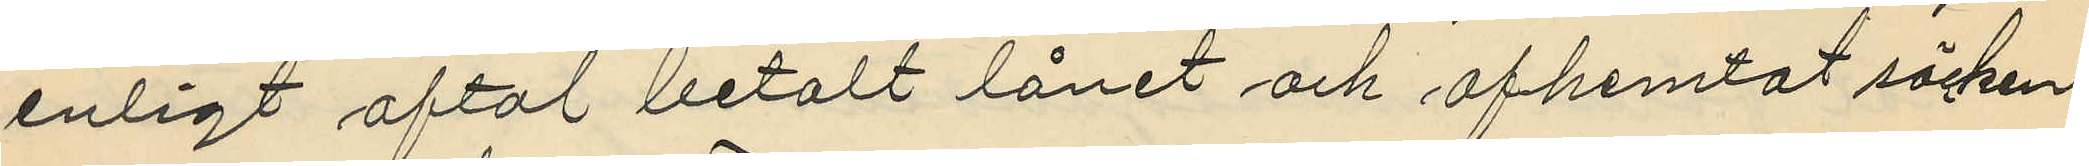enligt aftal betalt lånet och afhemtat säcken
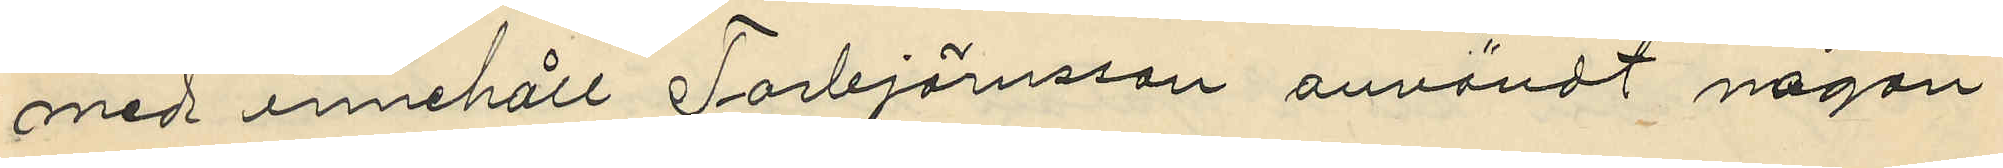med innehåll Torbjörnsson användt någon
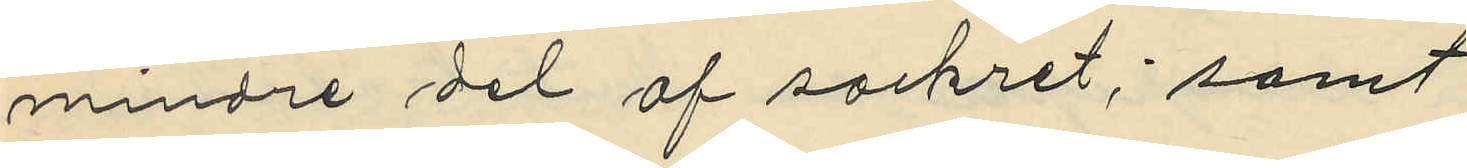mindre del af sockret; samt
